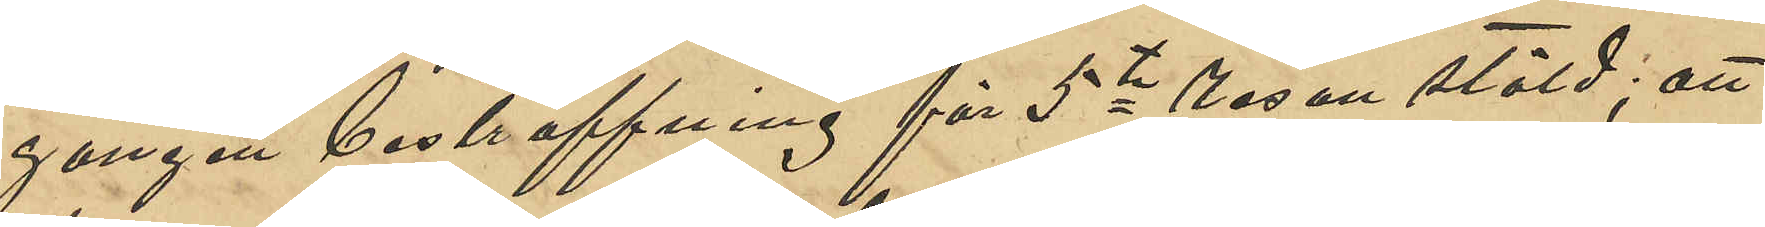gången bestraffning för 5te resan stöld; att
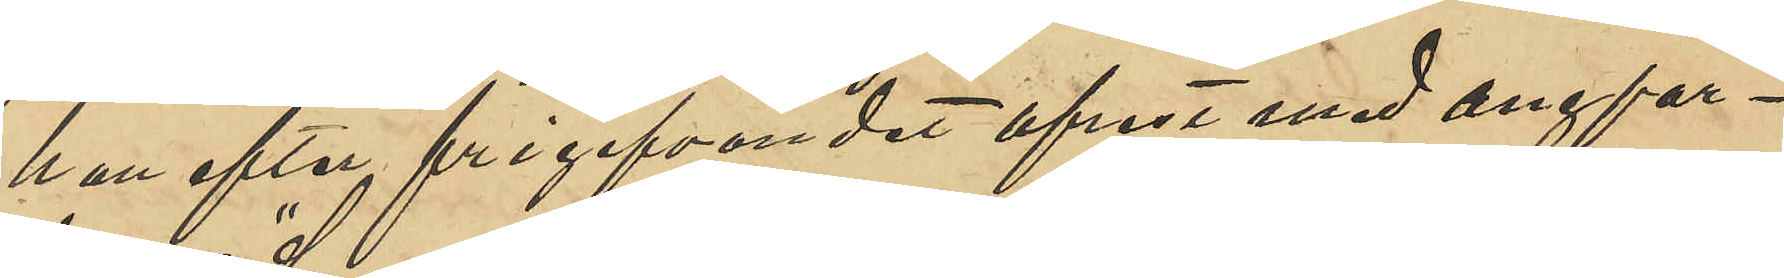han efter frigifvningen afrest med angfar¬
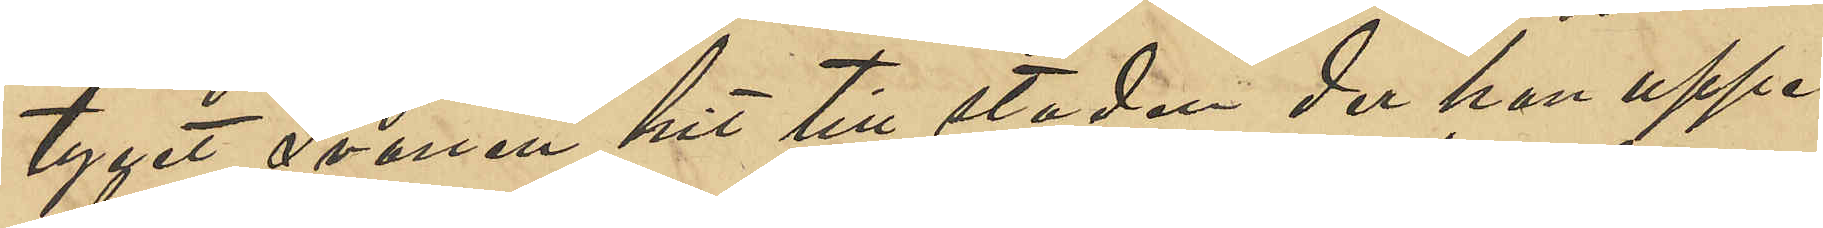tyget "Svanen" hit till staden der han uppe¬
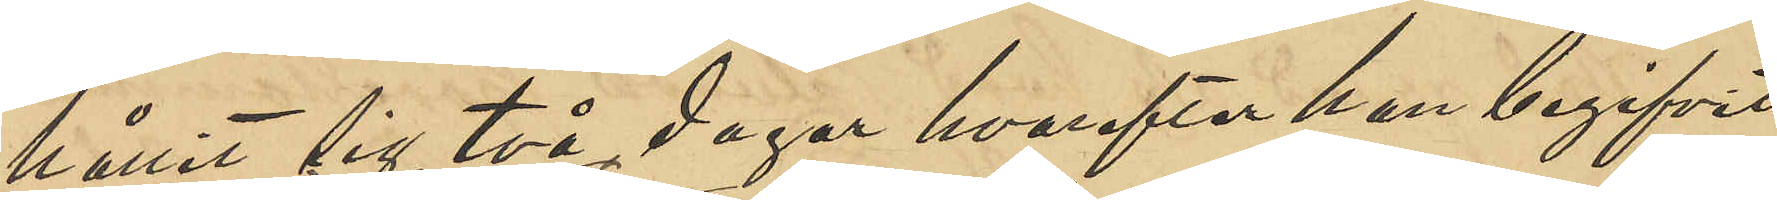hållit sig två dagar hvarefter han begifvit
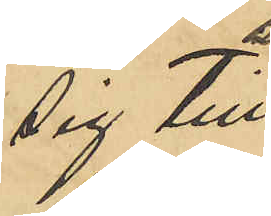sig till
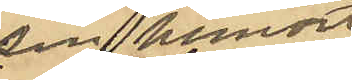sin hemort
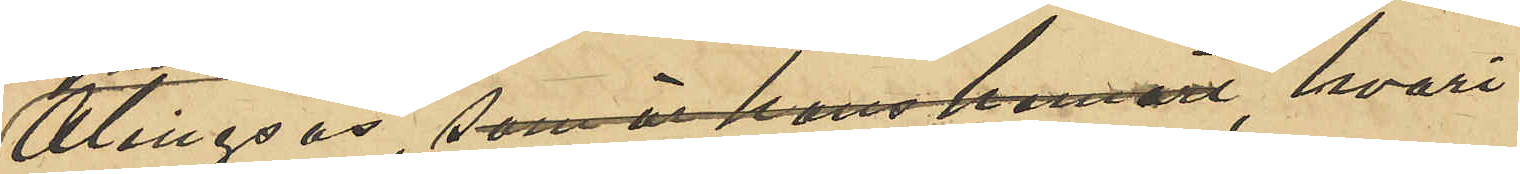Alingsås, som han är hans hemort, hvari¬
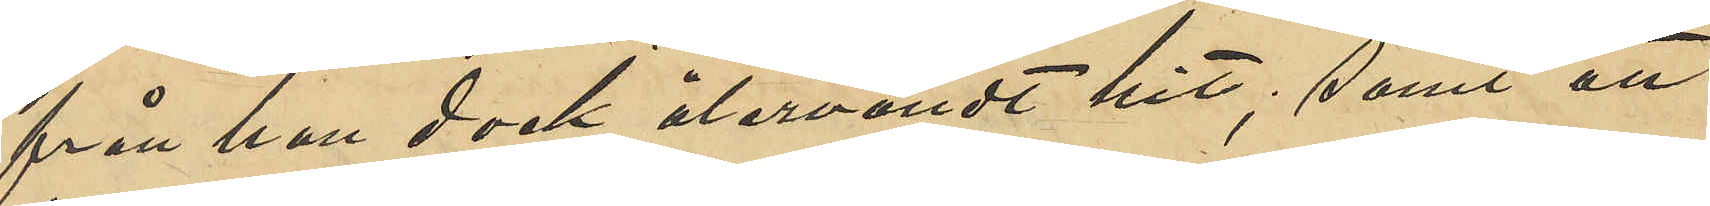från han dock återvändt hit; samt att
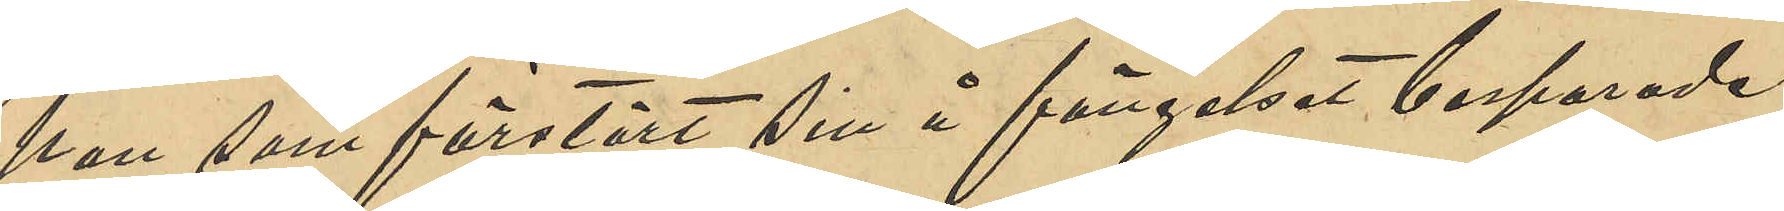han som förstört sin å fängelset besparade
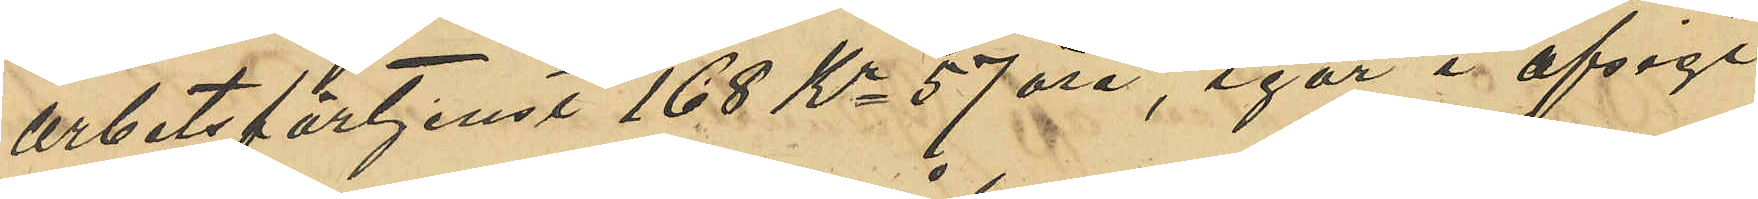arbetsförtjenst 168 Kr 57 öre, igår i afsigt
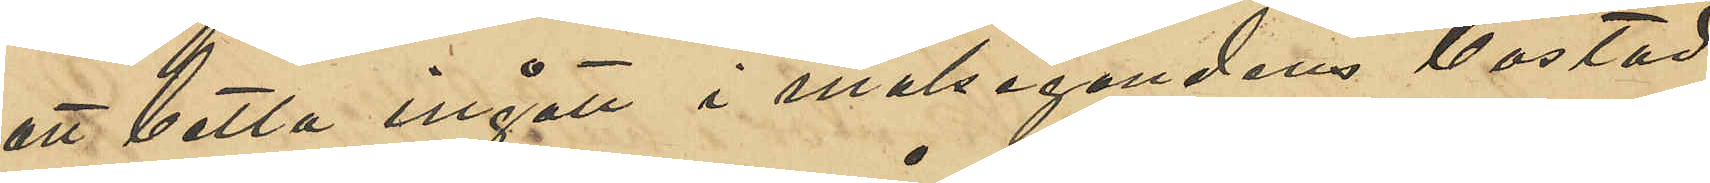att betla ingått i målsegandens bostad
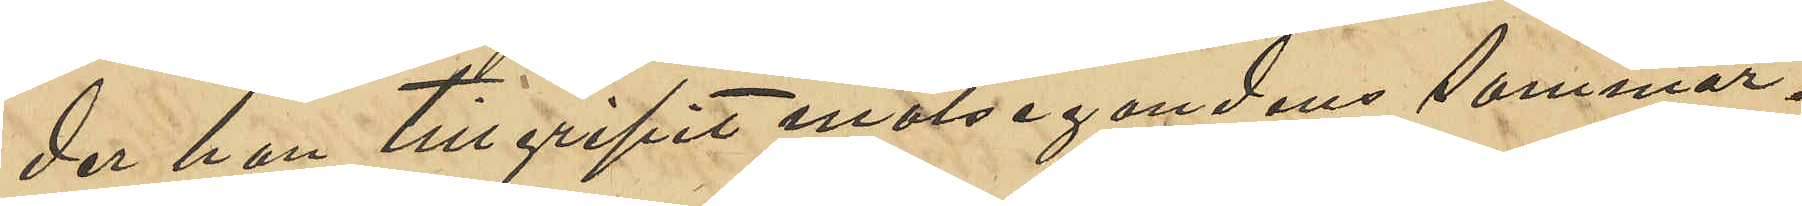der han tillgripit målsegandens sommar¬
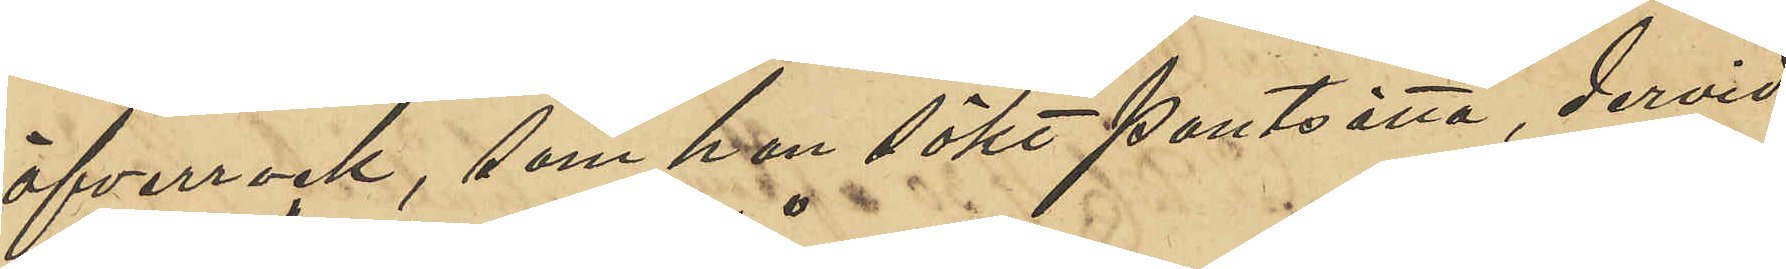öfverrock, som han sökt pantsätta, dervid
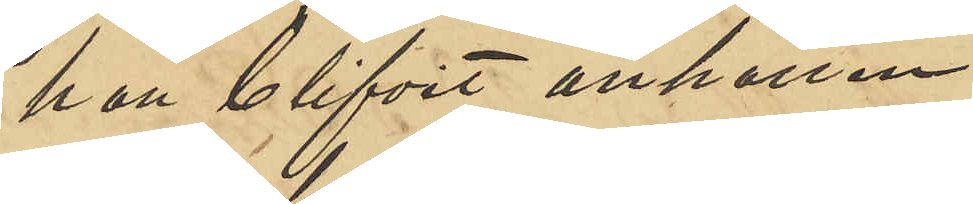han blifvit anhållen.
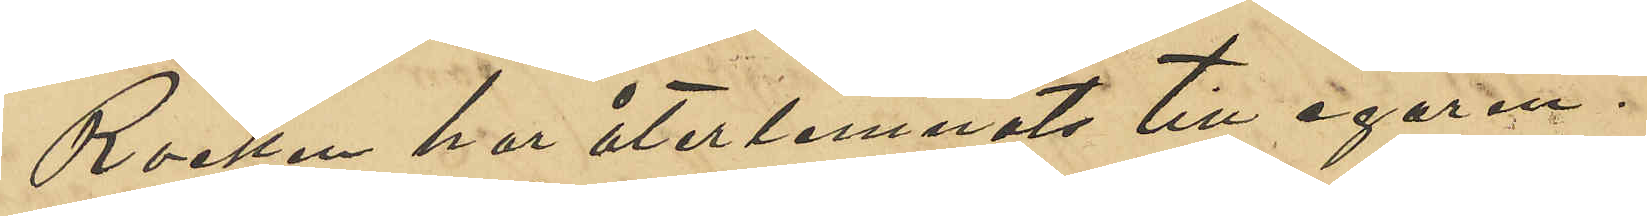Rocken har återlemnats till ägaren.
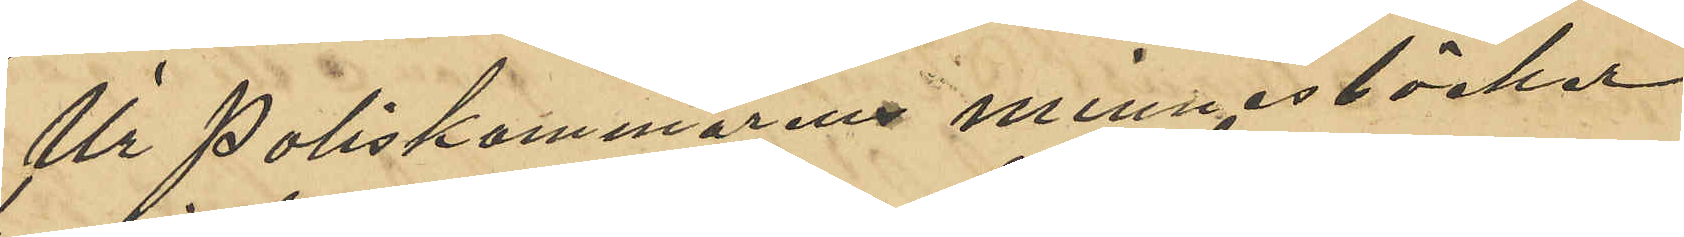Ur Poliskammarens minnesböcker
